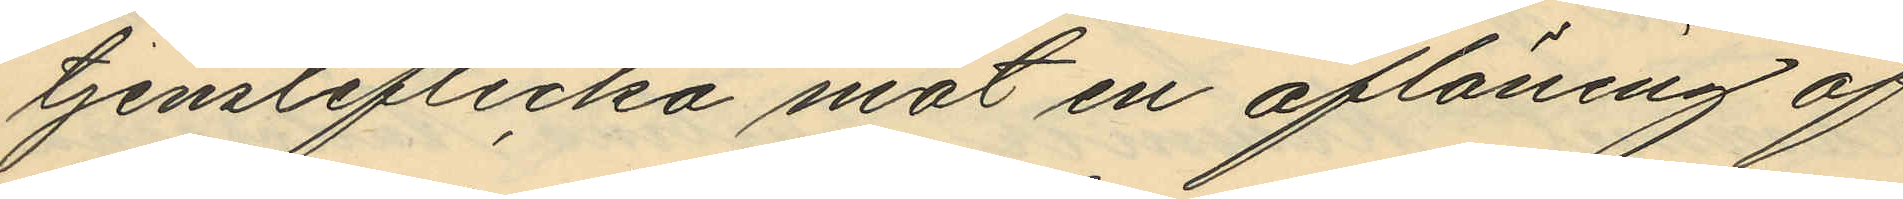tjensteflicka mot en aflöning af
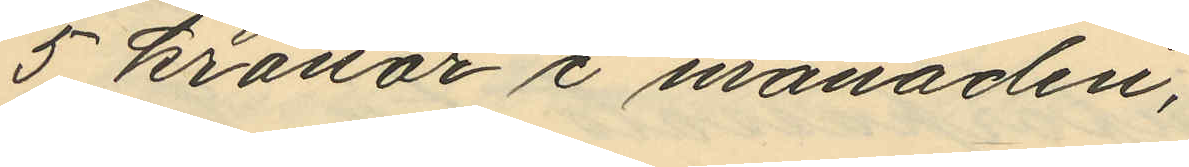5 kronor i månaden,
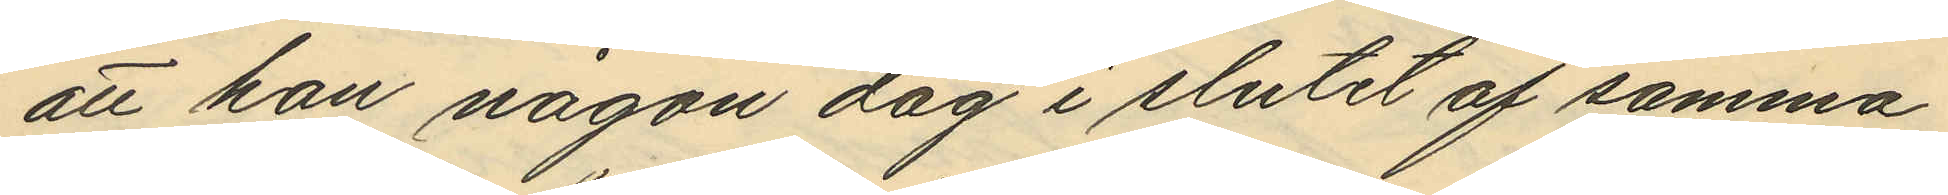att han någon dag i slutet af samma
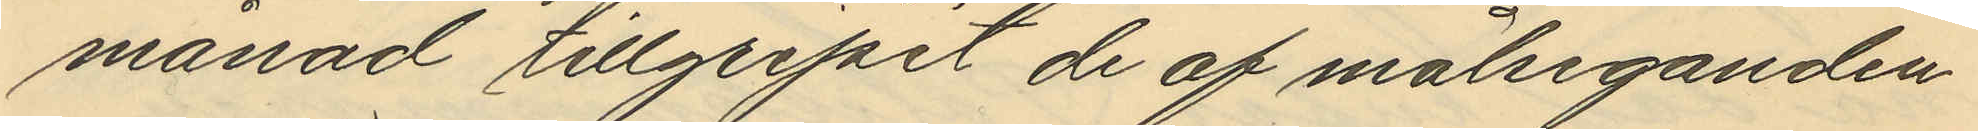månad tillgripit de af målseganden
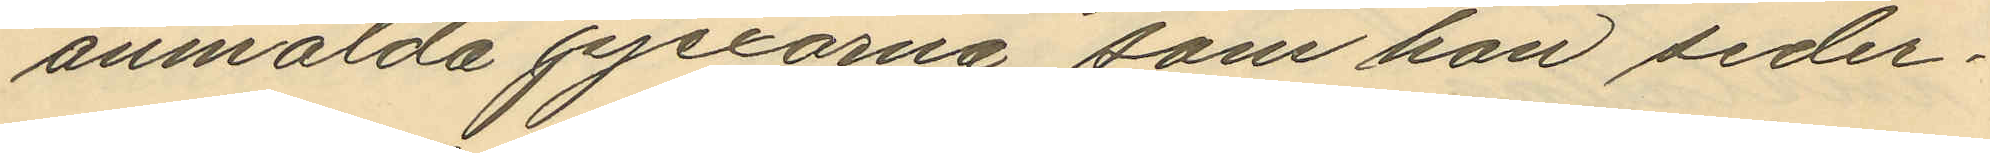anmälda pjexorna, som hon seder¬
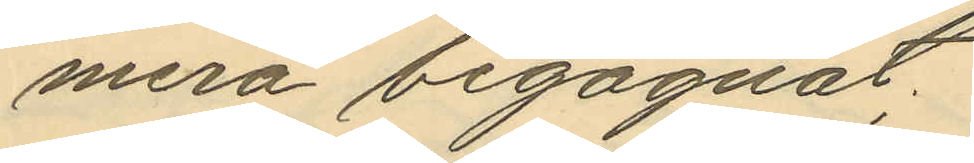mera begagnat.
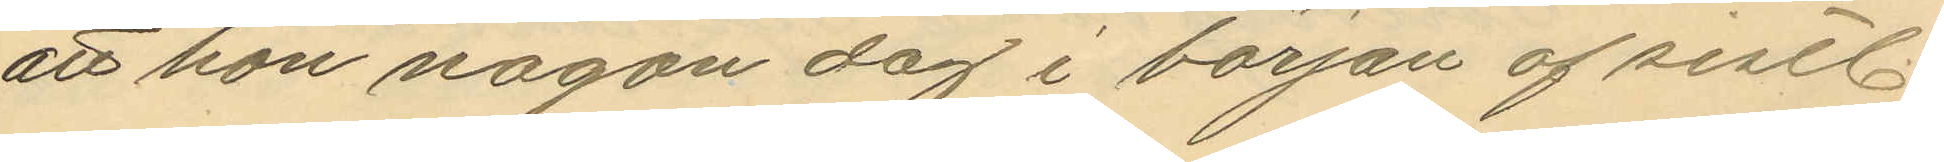att hon någon dag i början af sistl.
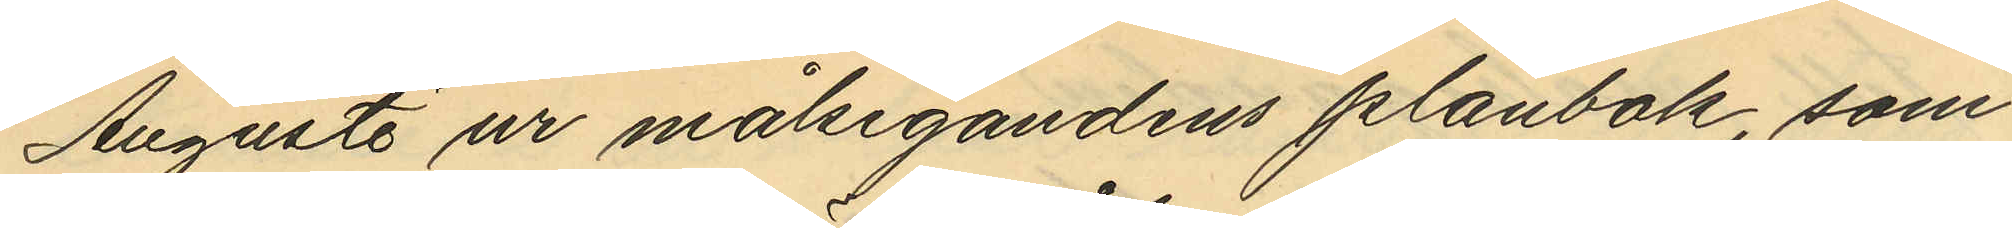Augusti ur målsegandens plånbok, som
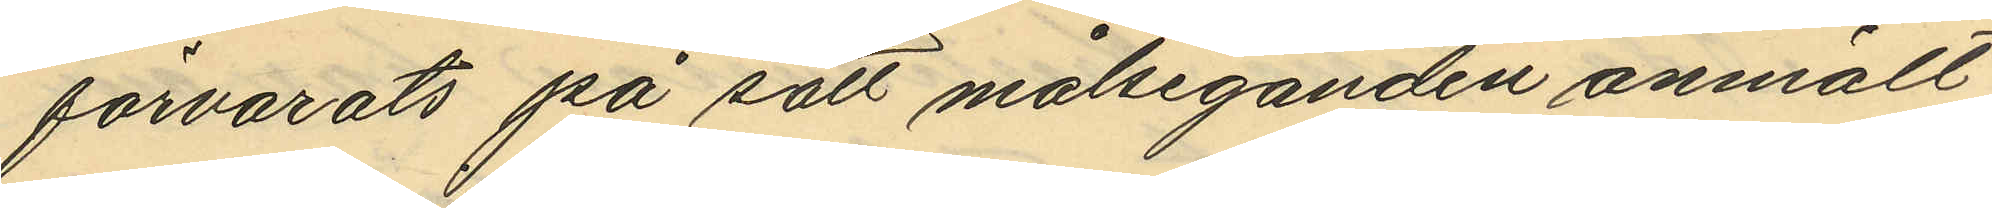förvarats på sätt målseganden anmält
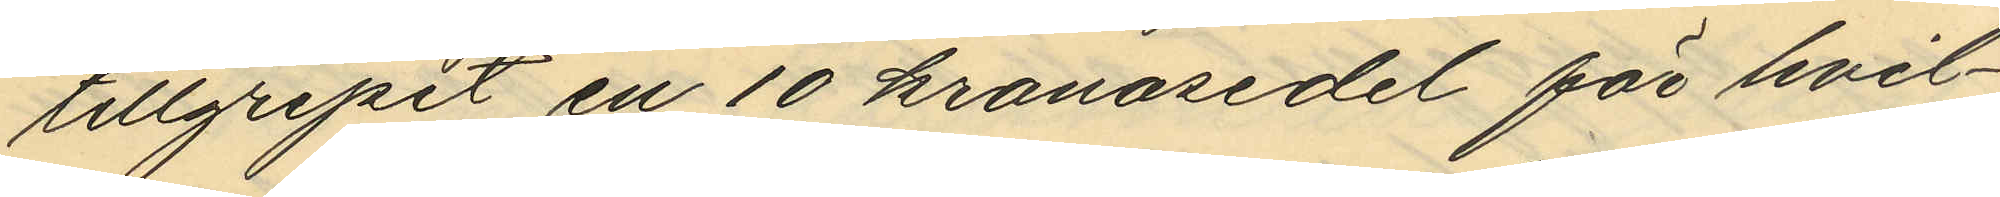tillgripit en 10 kronosedel för hvil¬
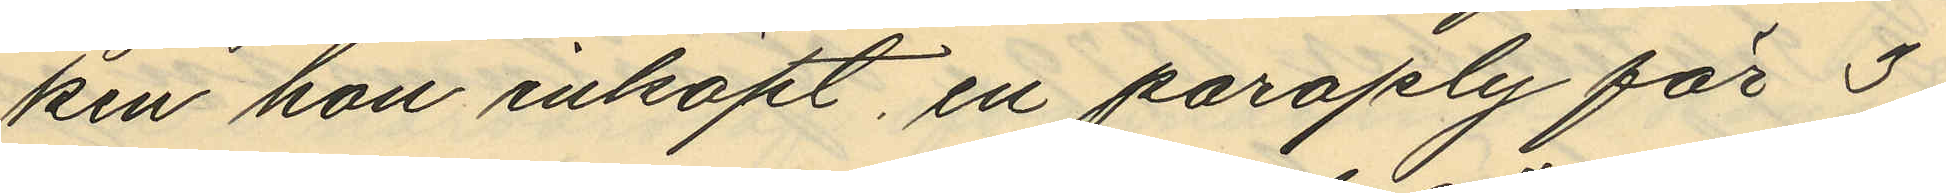ken hon inköpt, en paraply för 3
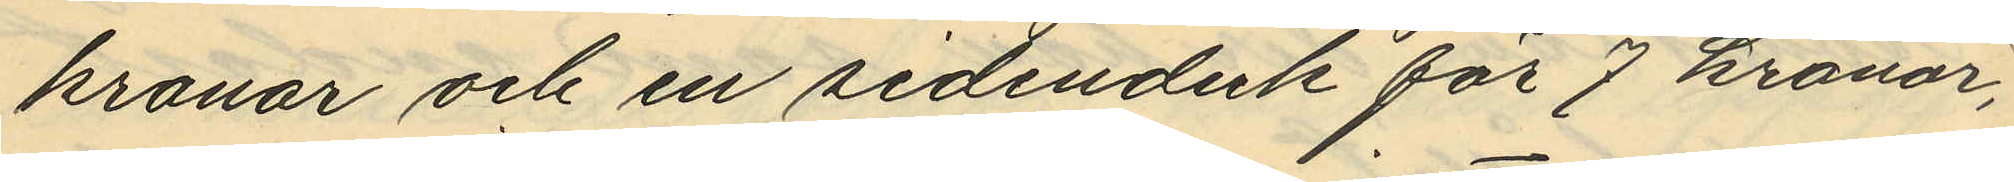kronor och en sidenduk för 7 kronor,
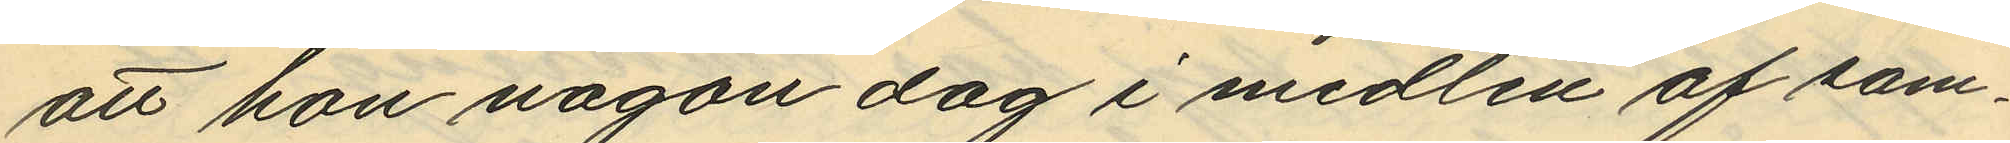att hon någon dag i midten af sam¬
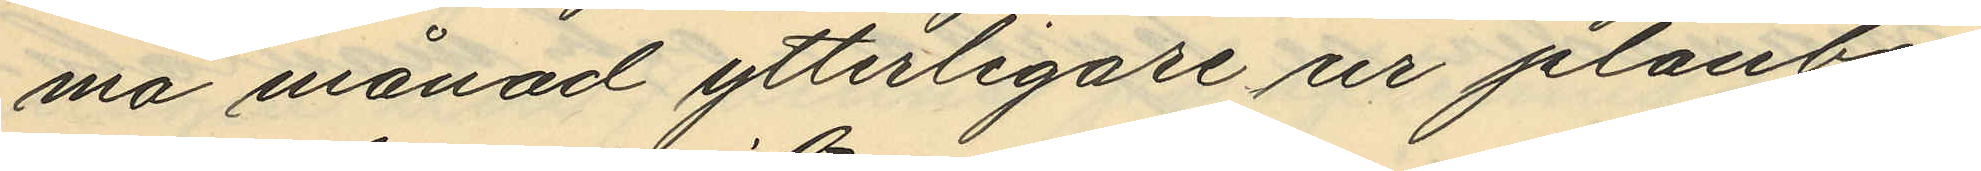ma månad ytterligare ur plånbo¬
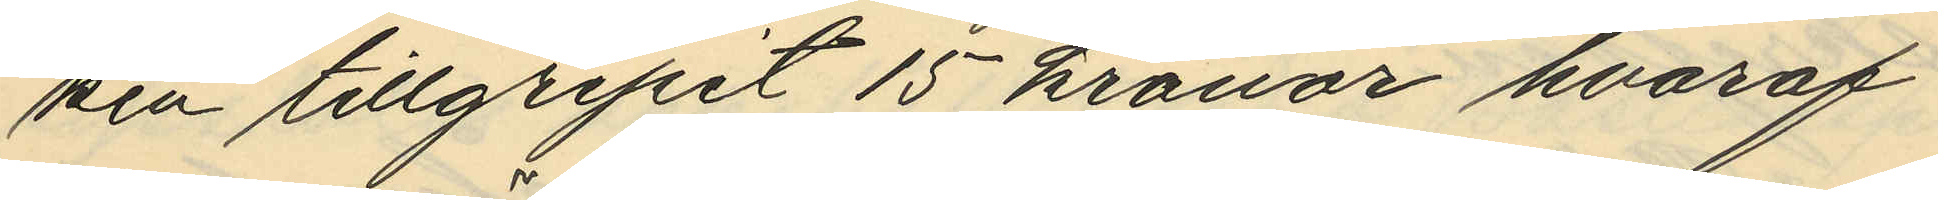ken tillgripit 15 kronor hvaraf
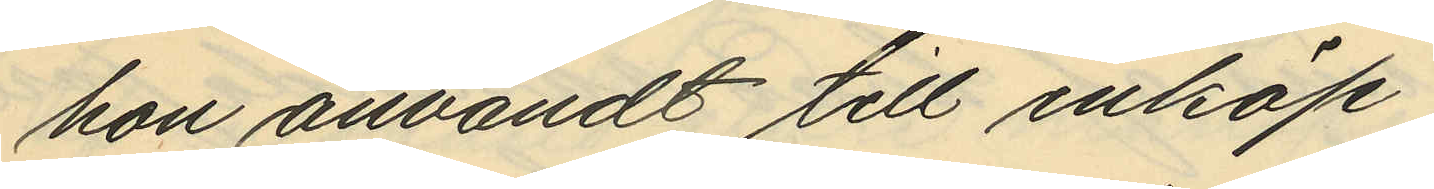hon användt till inköp
